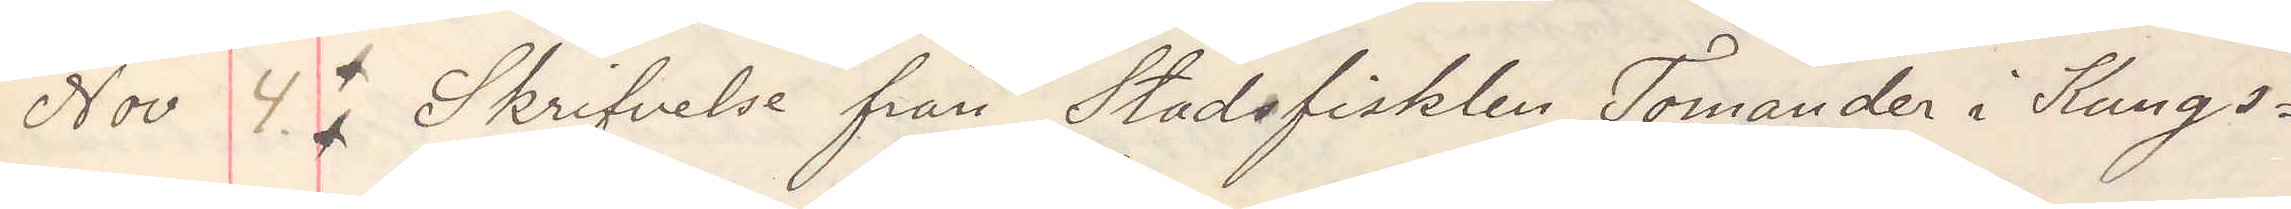Nov 4. Skrifvelse från Stadsfiskalen Tomander i Kungs¬
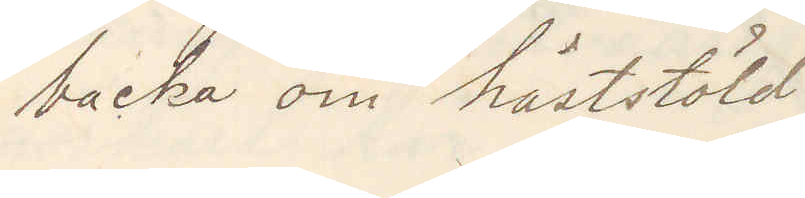backa om häststöld
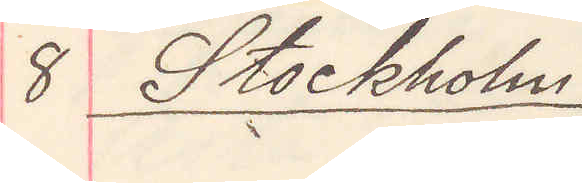8 Stockholm
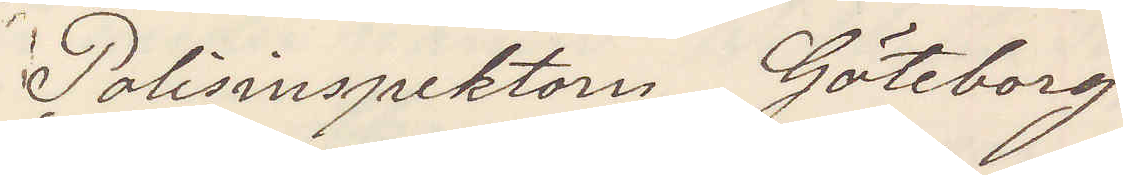Polisinspektorn Göteborg
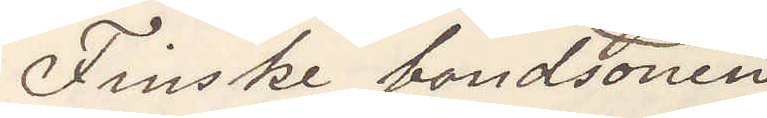Finske bondsonen
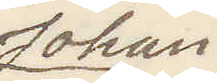Johan
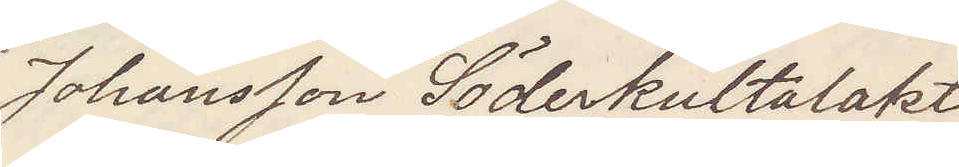Johansson Söderkultalakti
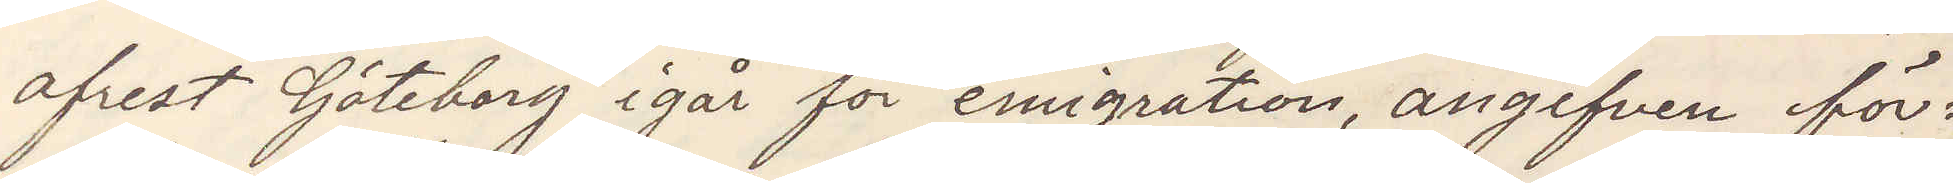afrest Göteborg igår för emigration, angifven för¬
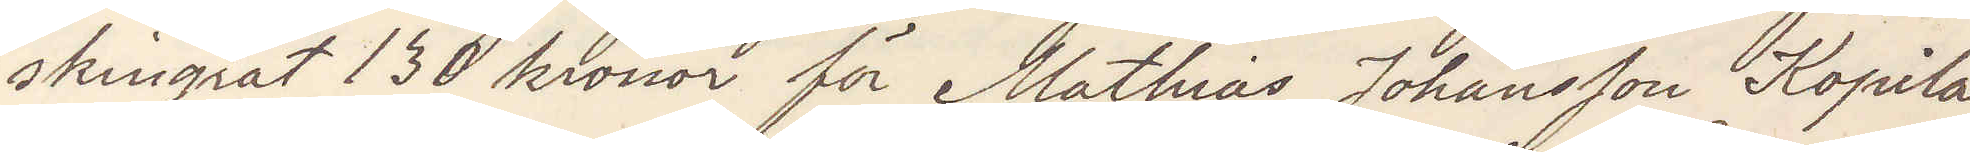skingrat 130 kronor för Mathias Johansson Kopila
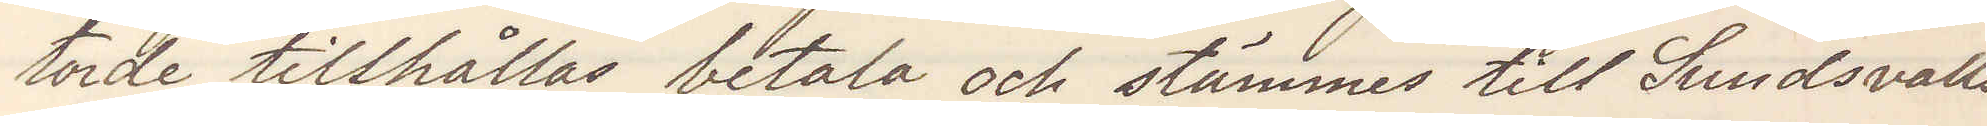torde tillhållas betala och stämmes till Sundsvalls
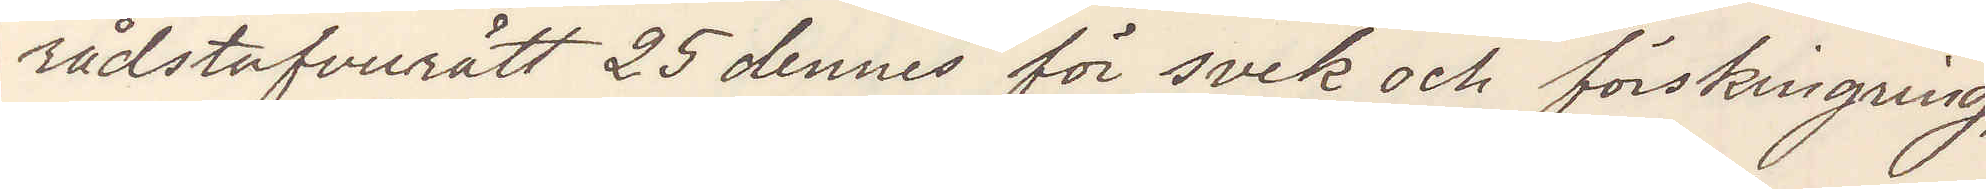rådstufvurätt 25 dennes för svek och förskingring,
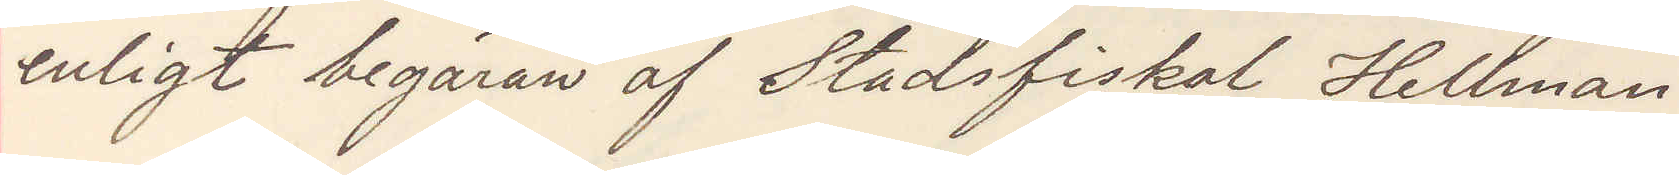enligt begäran af Stadsfiskal Hellman.
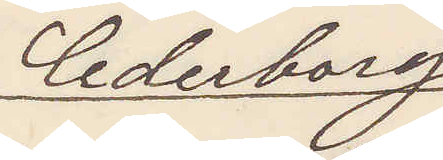Cederborg
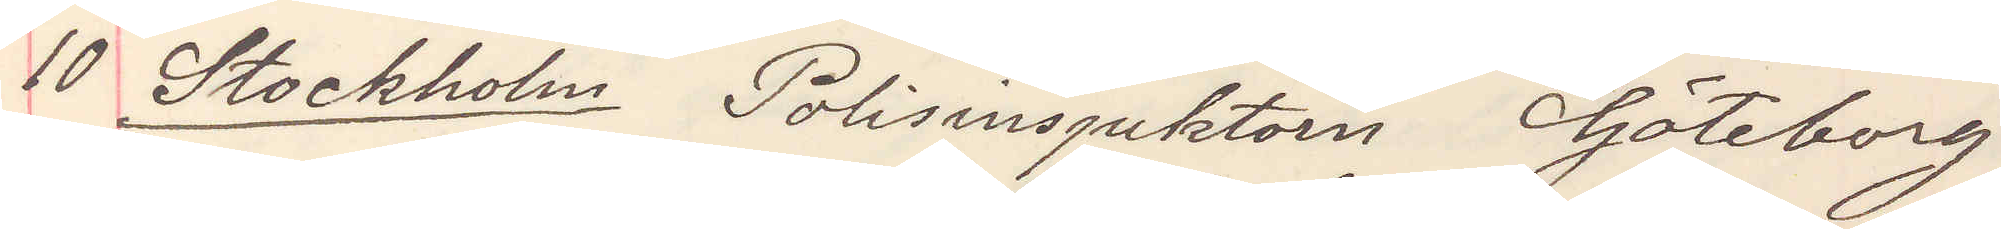10 Stockholm Polisinspektorn Göteborg
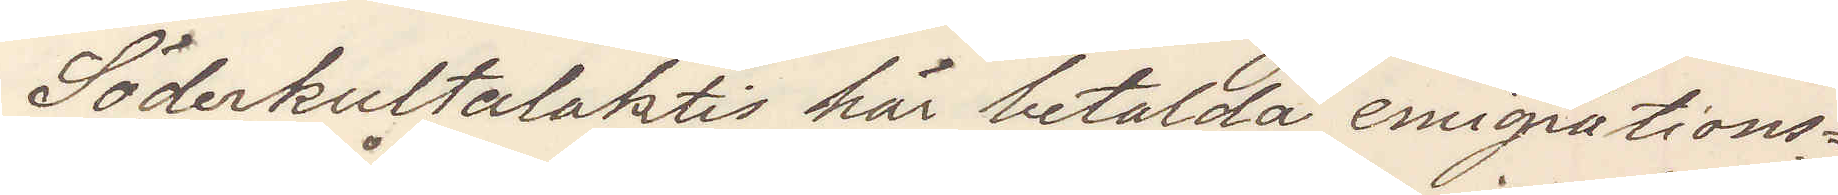Söderkultalaktis här betalda emigrations¬
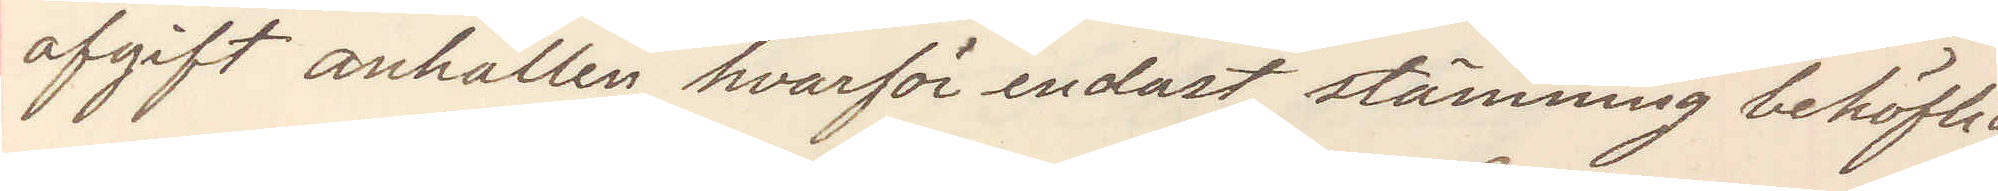afgift anhållen hvarför endast stämning behöflig
